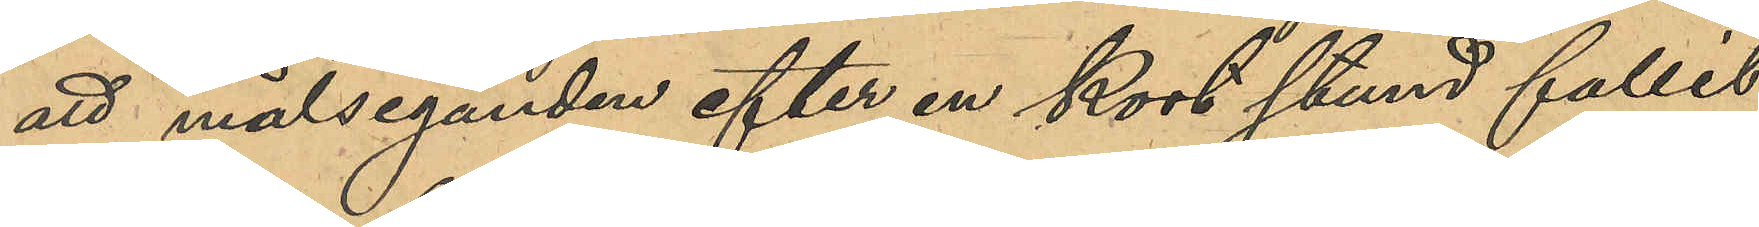att målseganden efter en kort stund fallit
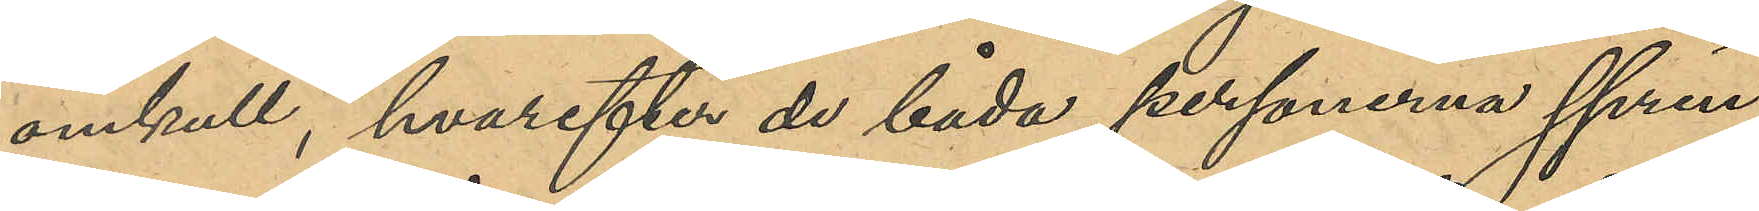omkull, hvarefter de båda personerna sprin¬
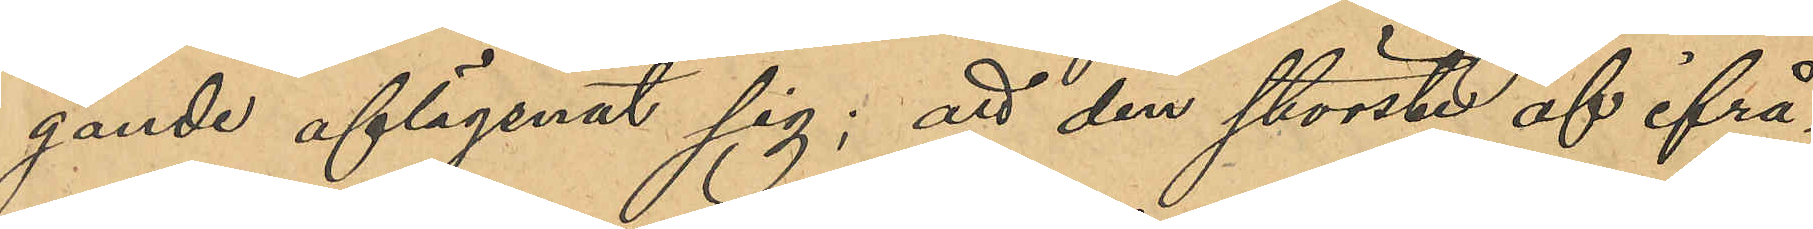gande aflägsnat sig; att den störste af ifrå¬
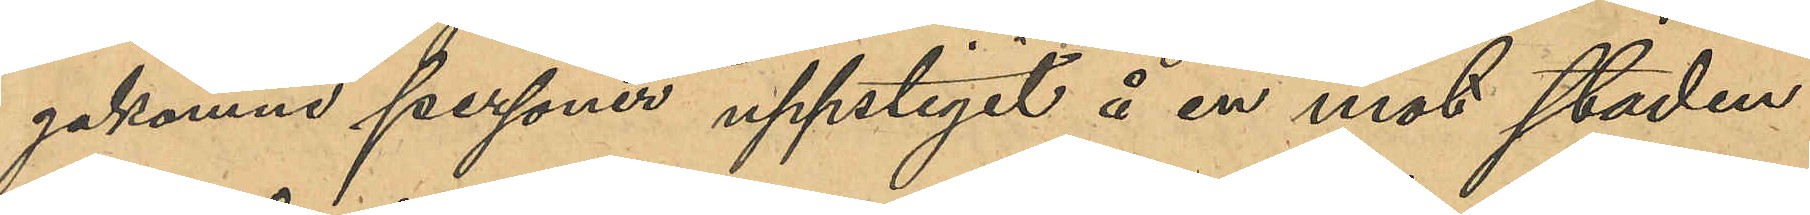gakomne personerna uppstigit å en mot staden
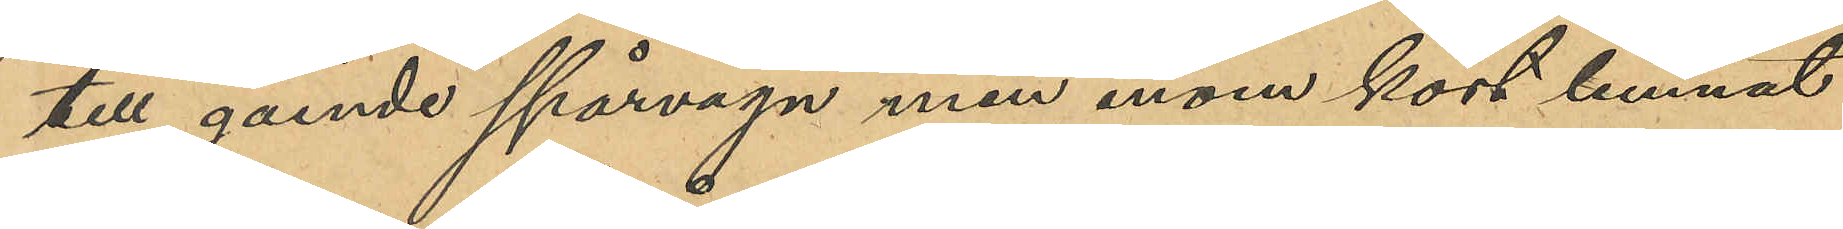till gående spårvagn men inom kort lemnat
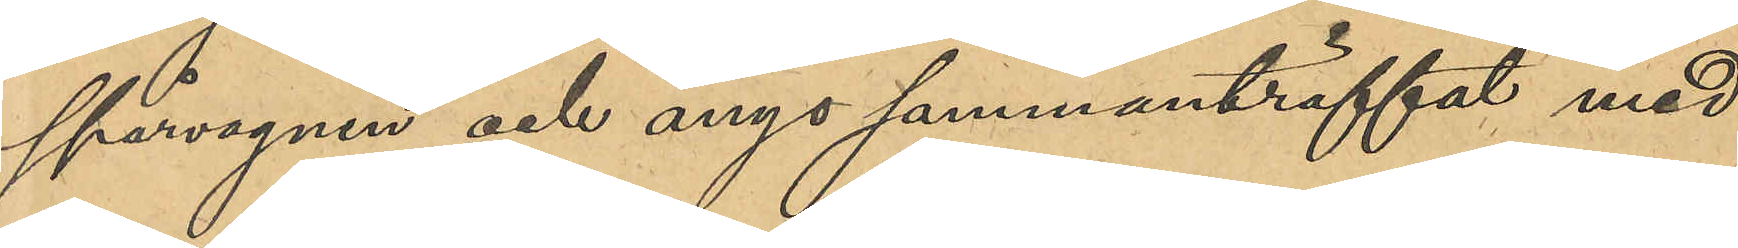spårvagnen och ånyo sammanträffat med
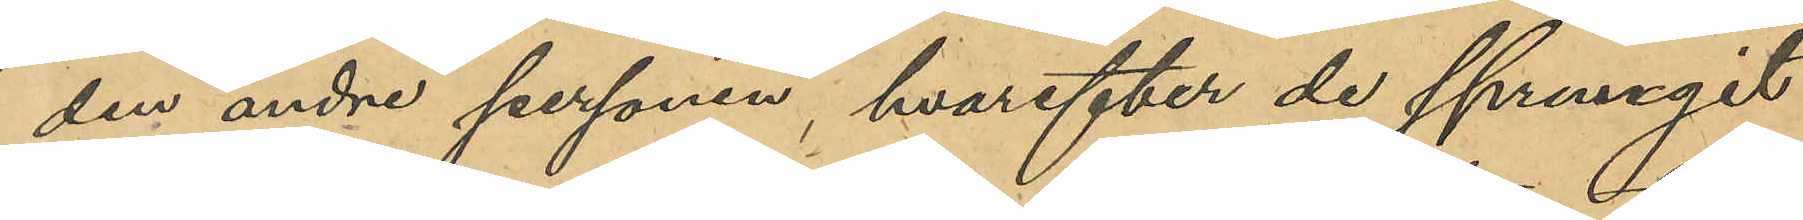den andre personen, hvarefter de sprungit
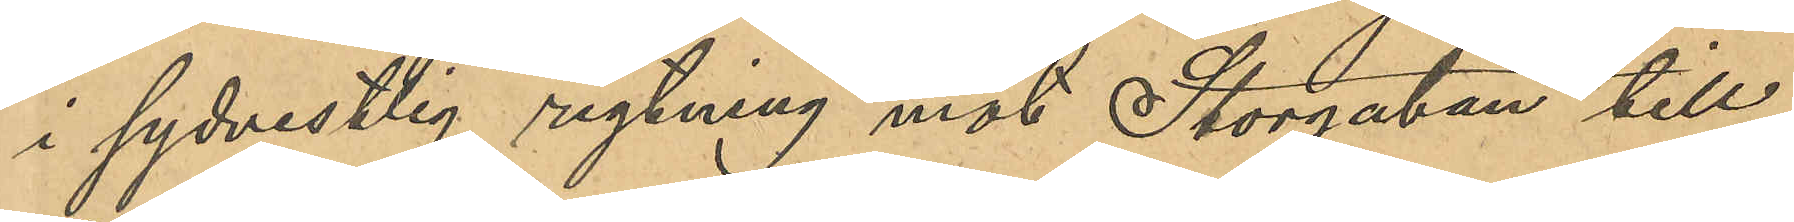i sydvestlig riktning mot Storgatan till;
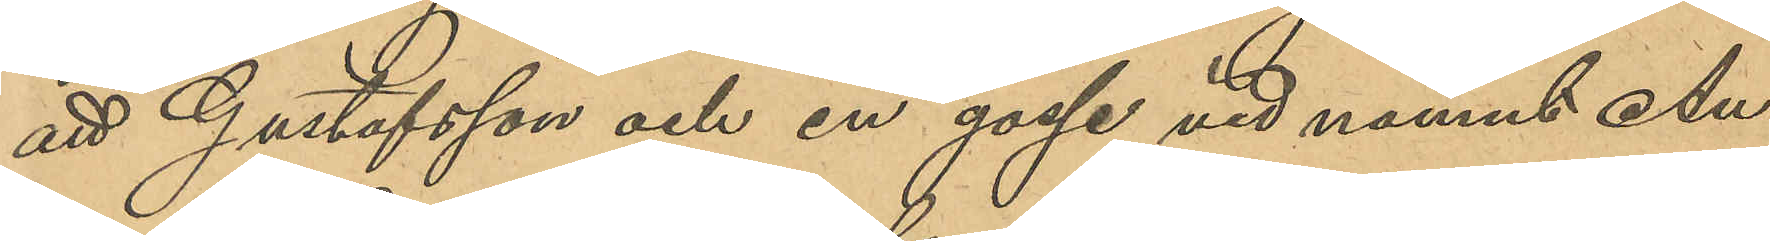att Gustafsson och en gosse vid namn Au¬
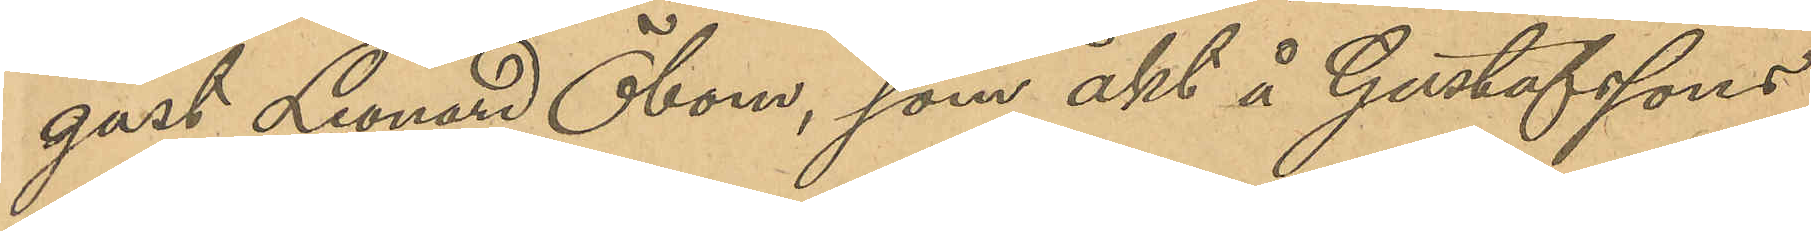gust Leonard Öbom, som åkt å Gustafssons
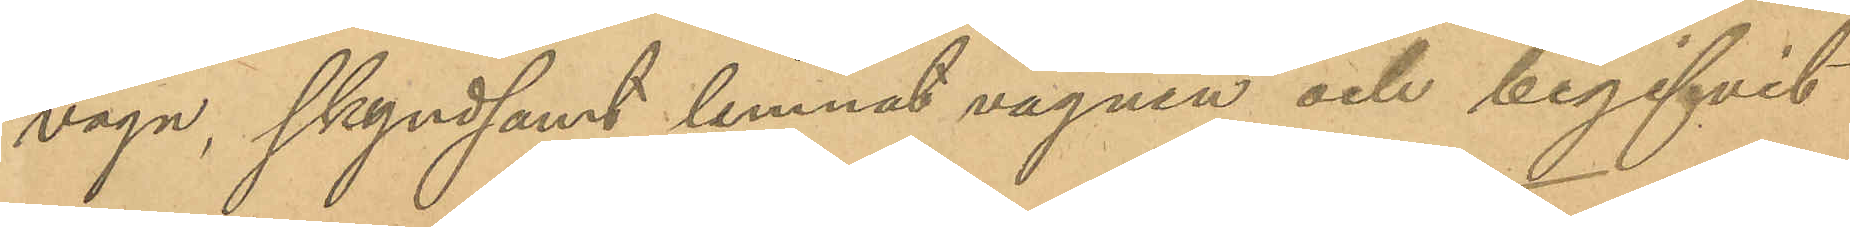vagn, skyndsamt lemnat vagnen och begifvit
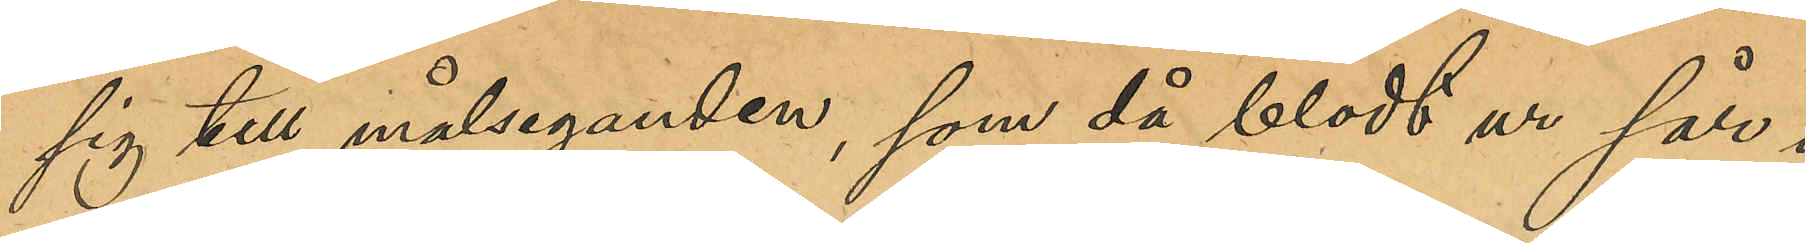sig till målseganden, som då blödt ur sår i
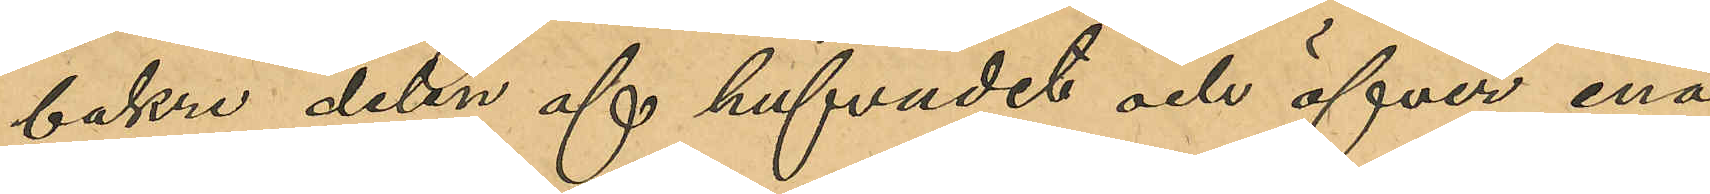bakre delen af hufvudet och öfver ena
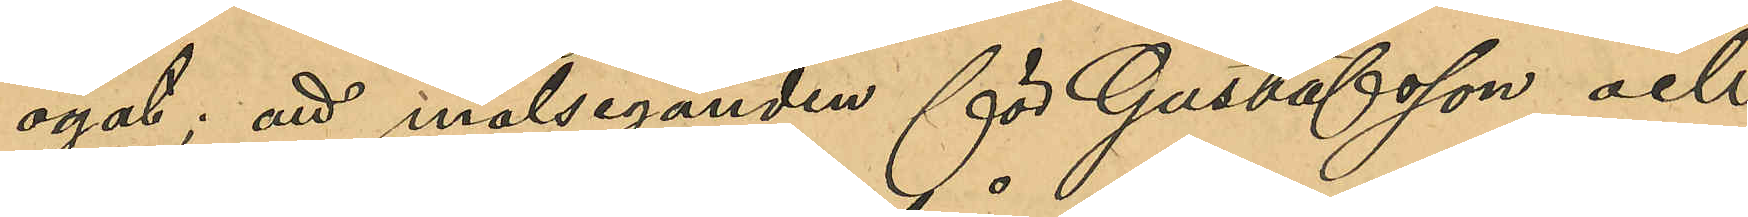ögat; att målseganden för Gustafsson och
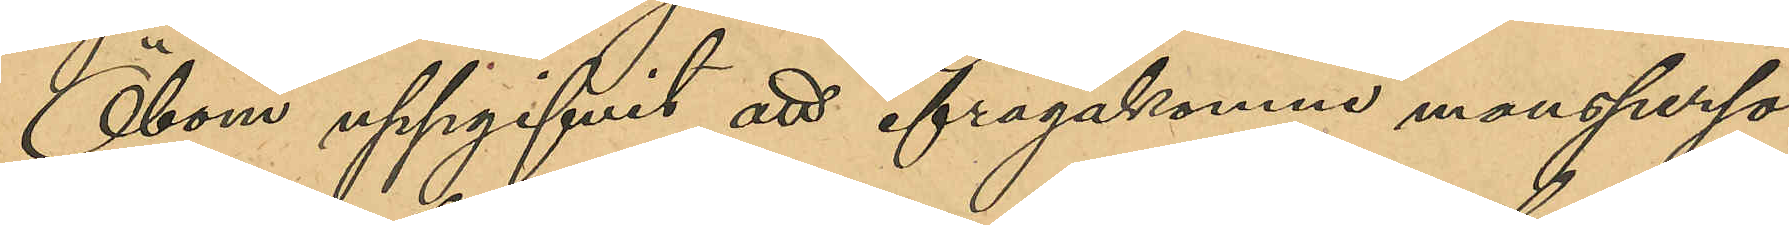Öbom uppgifvit att ifrågakomne mansperso¬
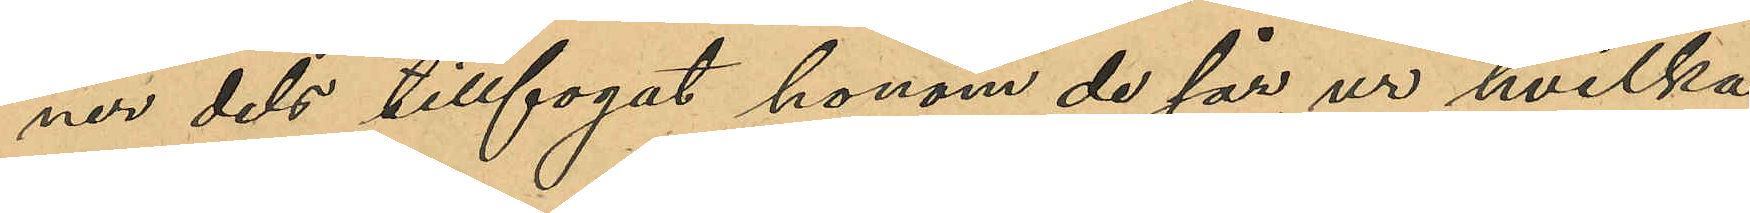ner dels tillfogat honom de sår, ur hvilka
